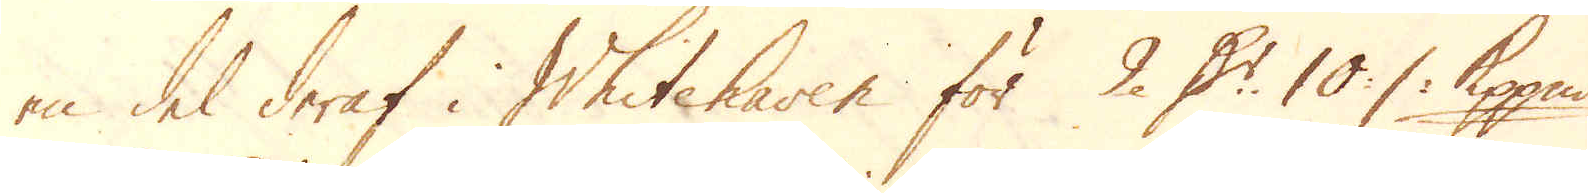en del deraf i Whitehaven för 2 D:r 10 :/: Kpp:mt
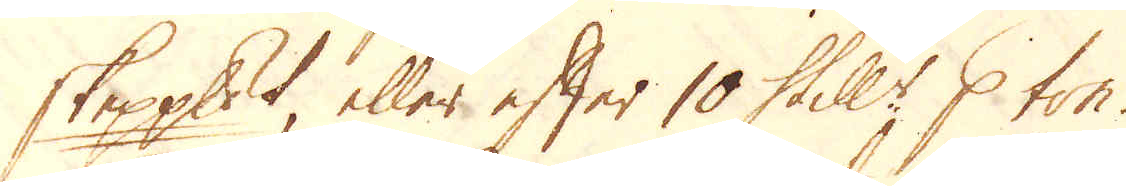skeppundet, eller efter 10 Skill:r p ton.
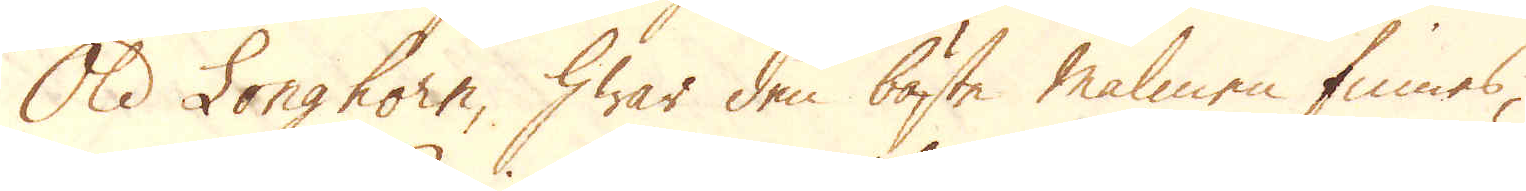Old Longhorn, hwar den bäste malmen finnes,
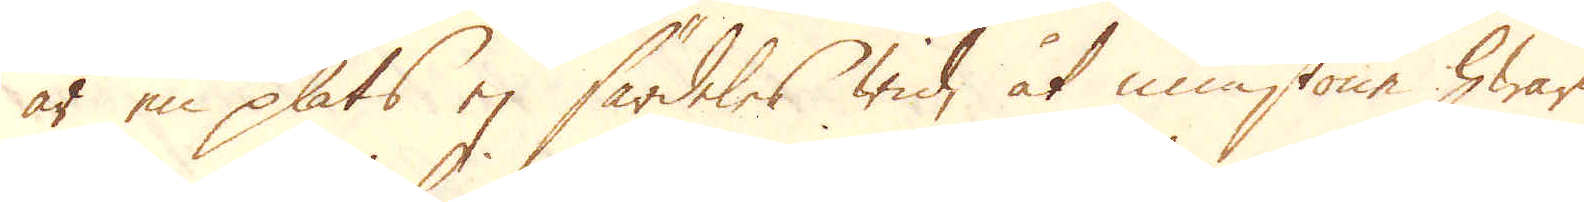är en plats ej särdeles wid, åt minstone hwar
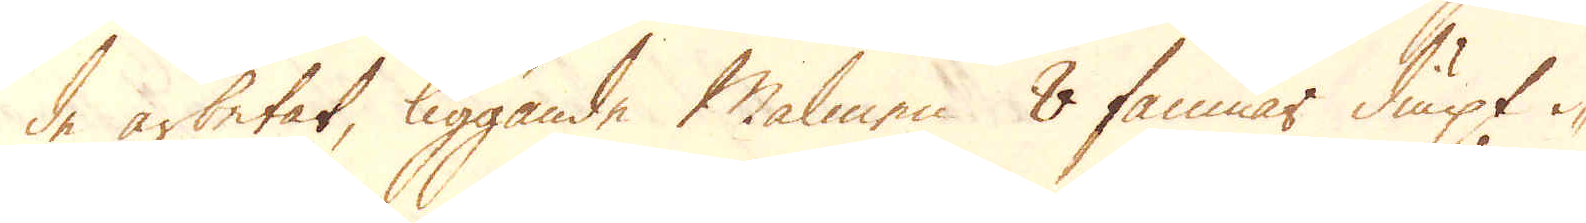de arbetat, liggande Malmen 8 famnar diupt i-
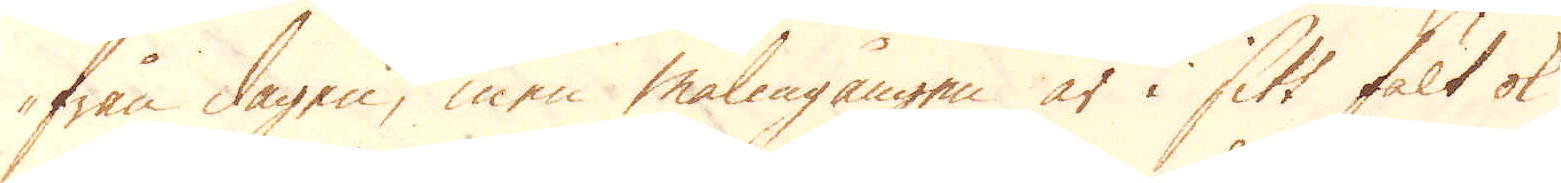från dagen, men malmgången är i sitt fält ok
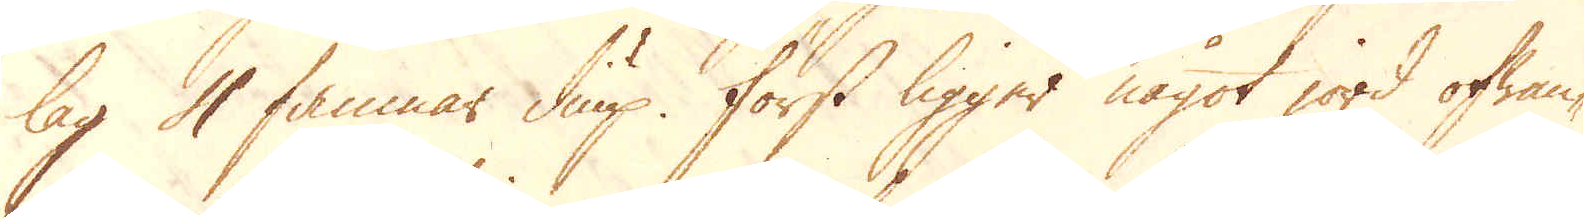lag 4 famnar diup. Först ligger något jord ofwan-
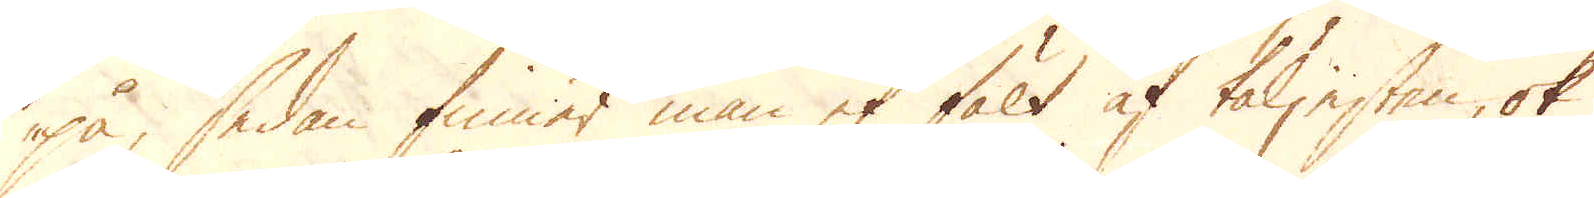på, sedan finner man et fält af täljesten, ok
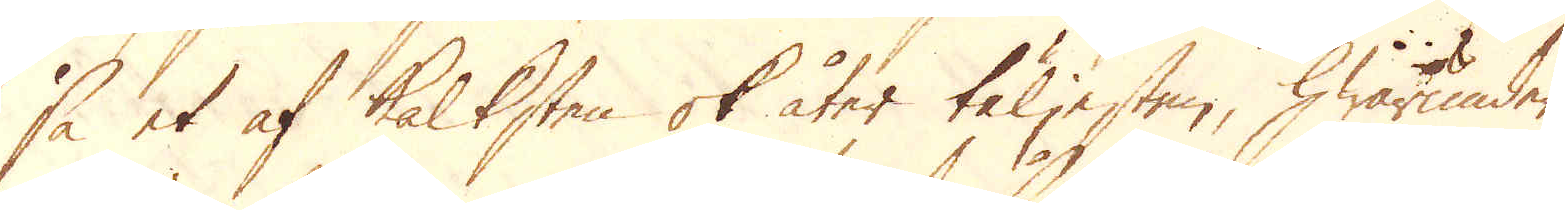så et af kalksten ok åter täljesten, hwarunder
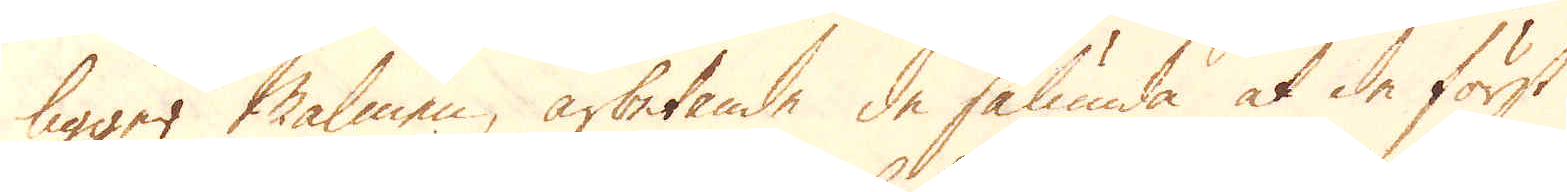ligger Malmen, arbetande de sålunda at de först
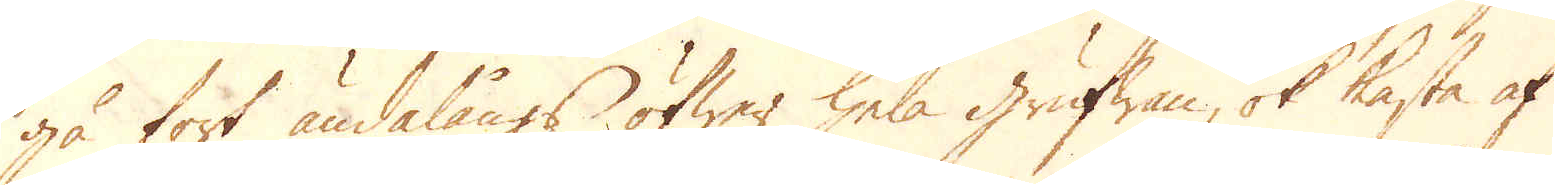gå fort ändalångs öfwer hela grufwan, ok kasta af
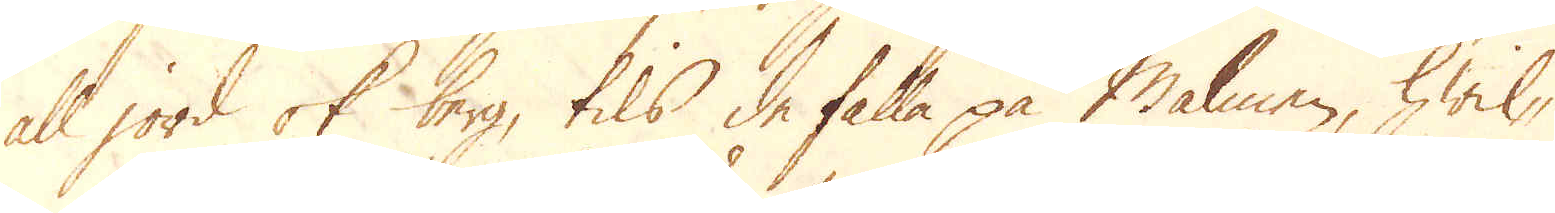all jord ok berg, tils de falla på Malmen, hwil-
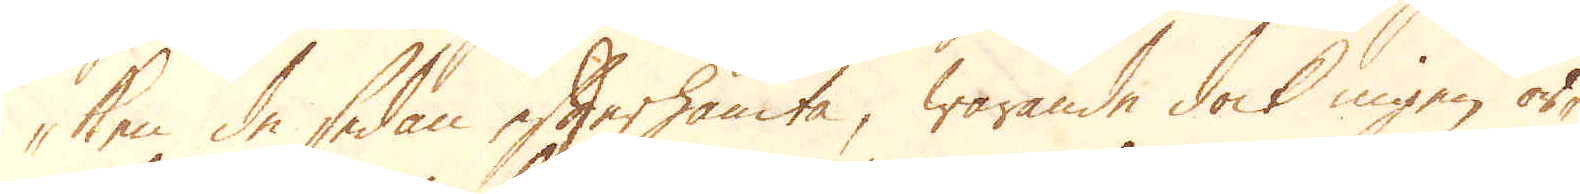ken de sedan efterhämta, warande dock ingen or-
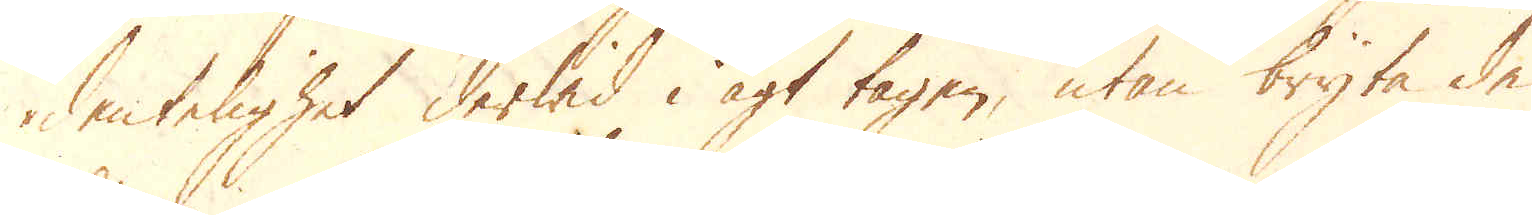dentelighet derwid i agt tagen, utan bryta de
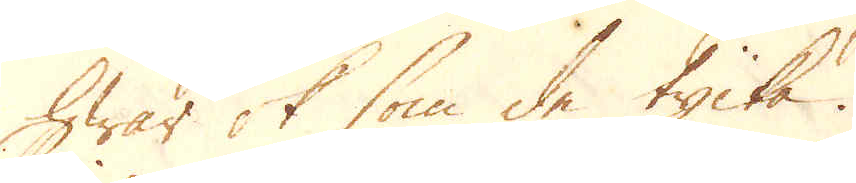hwar ok som de tycka.
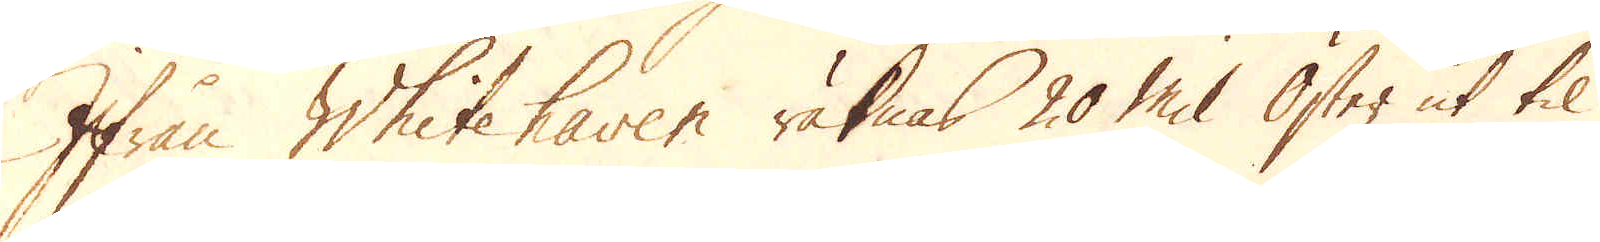Ifrån Whitehaven räknas 20 Mil Öster ut til
